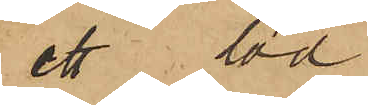ett lod
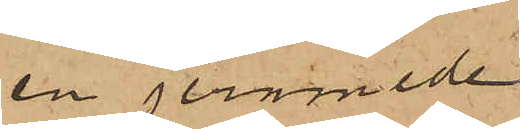en jernmede
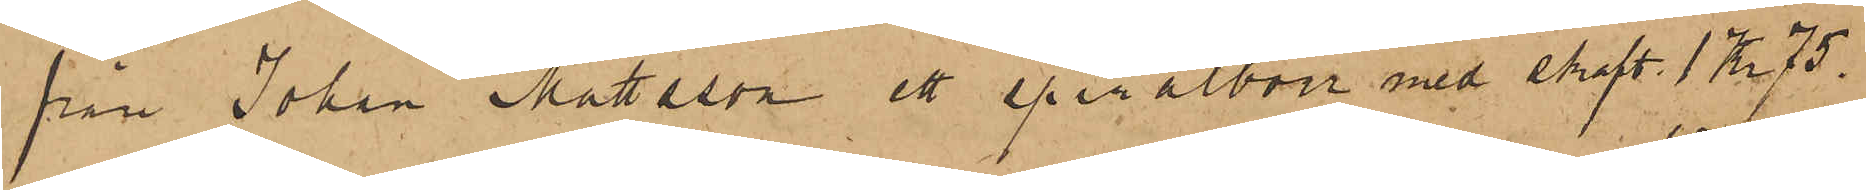från Johan Mattsson ett spiralborr med skaft 1 Kr. 75.
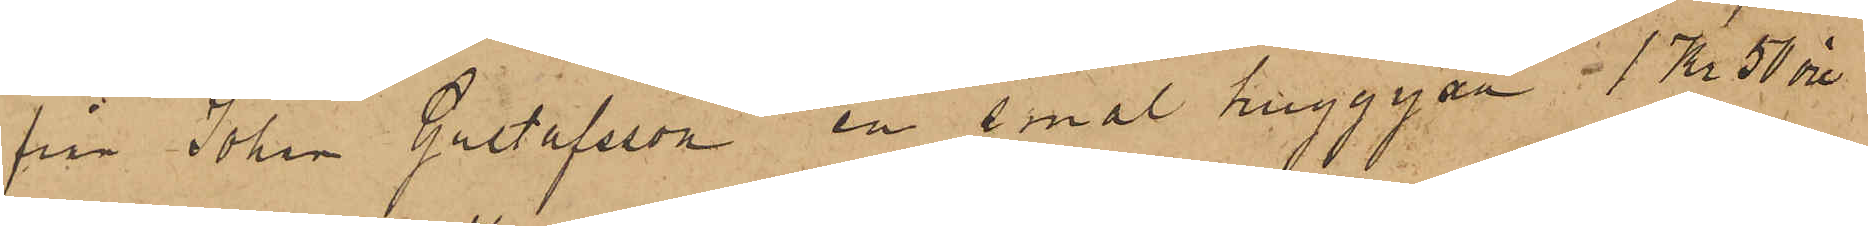från Johan Gustafsson en smal huggyxa 1 Kr. 50 öre,
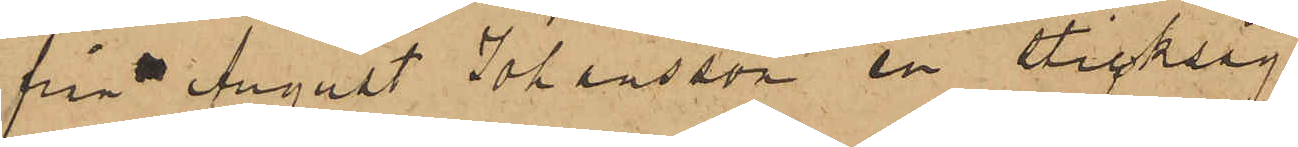från August Johansson en sticksåg
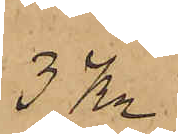3 Kr
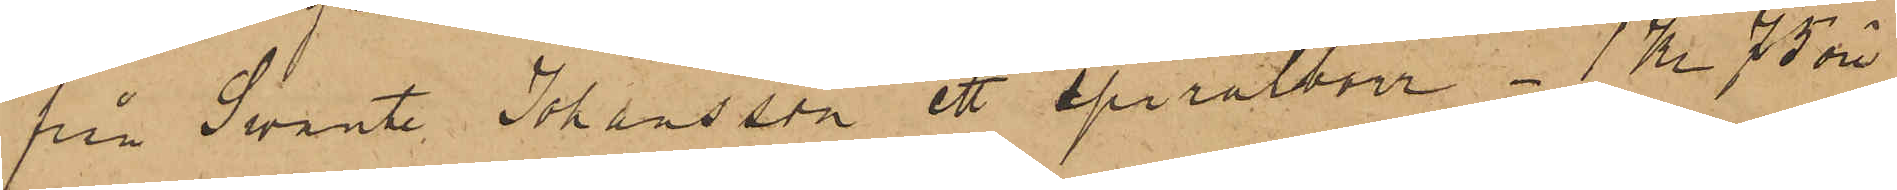från Swante Johansson ett spiralborr - 1 Kr. 75 öre,
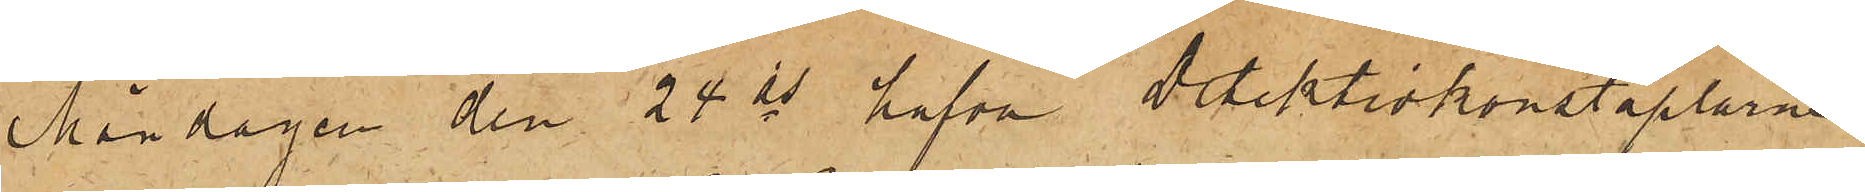Måndagen den 24 ds hafva Detektivkonstaplarne
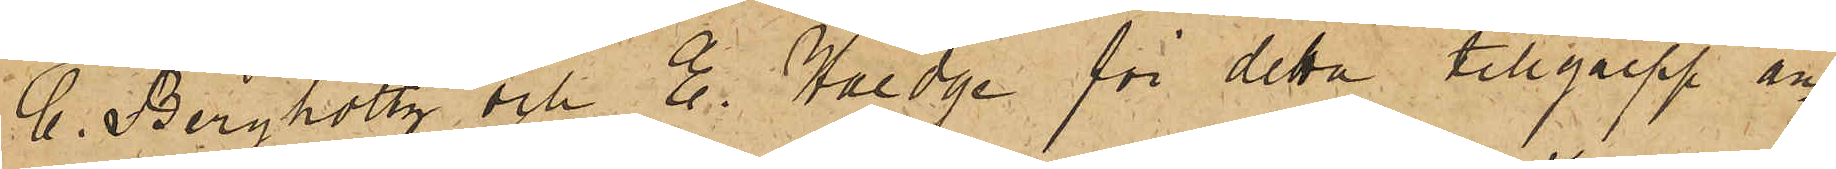C. Bergholtz och E. Haedge för detta tillgrepp an¬
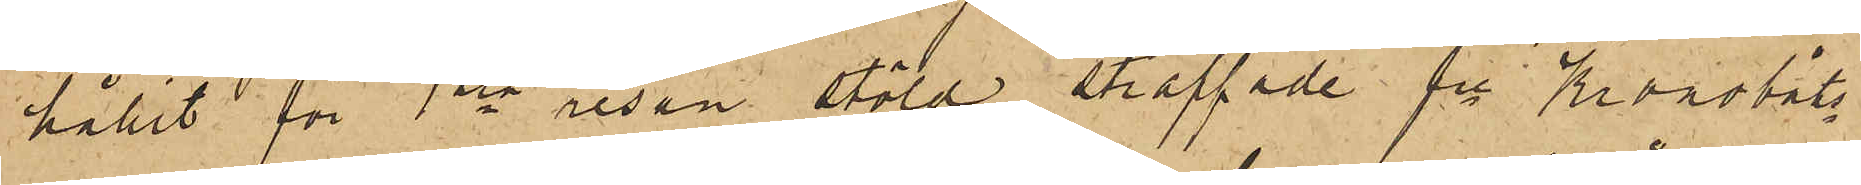hållit för 1sta resan stöld straffade fre Kronobåts¬
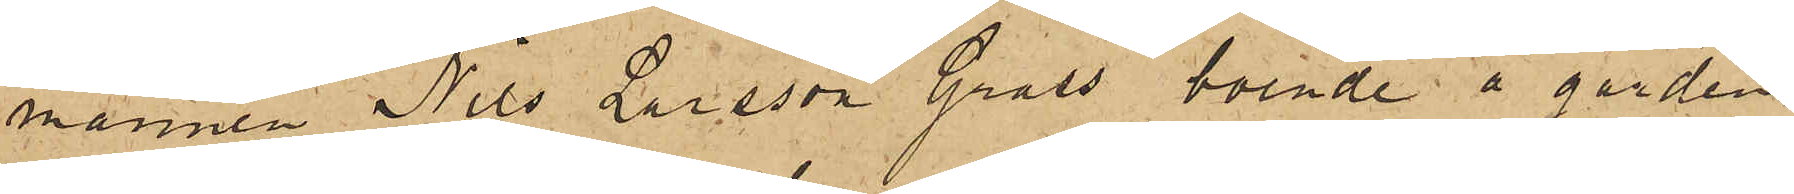mannen Nils Larsson Grass, boende å gården
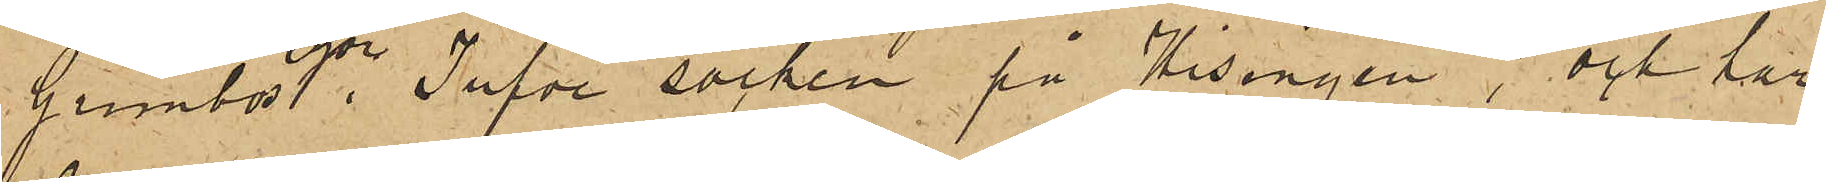Grimbos egor, Tufve socken på Hisingen, och har
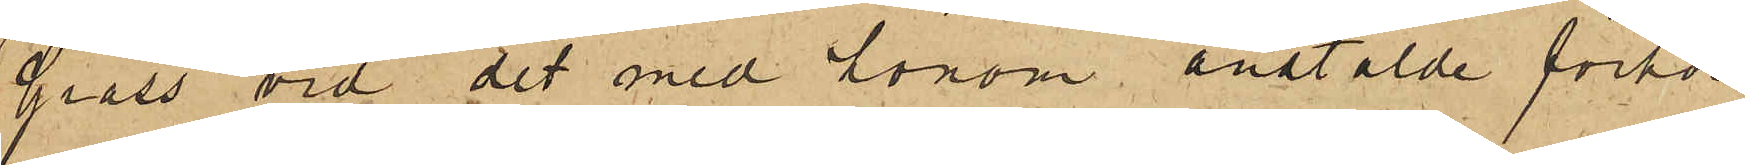Grass vid det med honom anstälde förhör
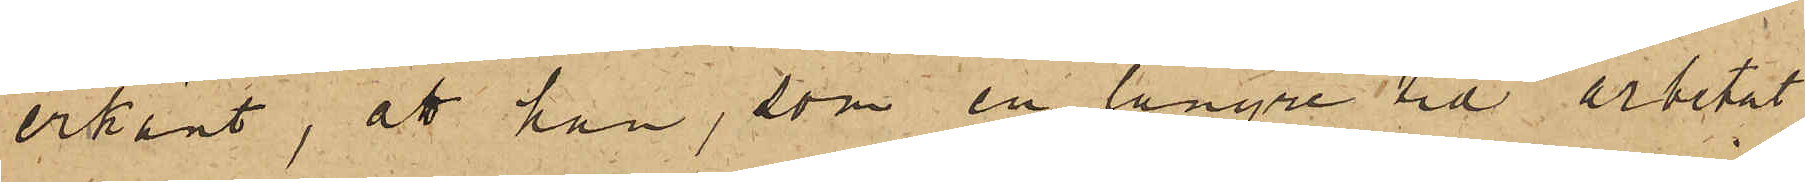erkänt, att han, som en längre tid arbetat
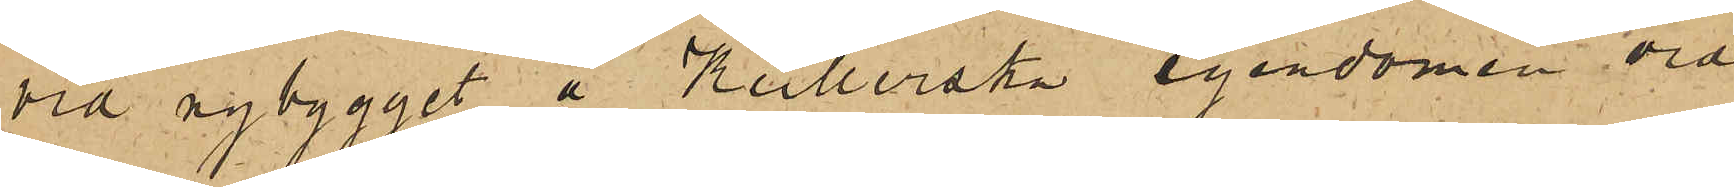vid nybygget å Keillerska egendomen vid
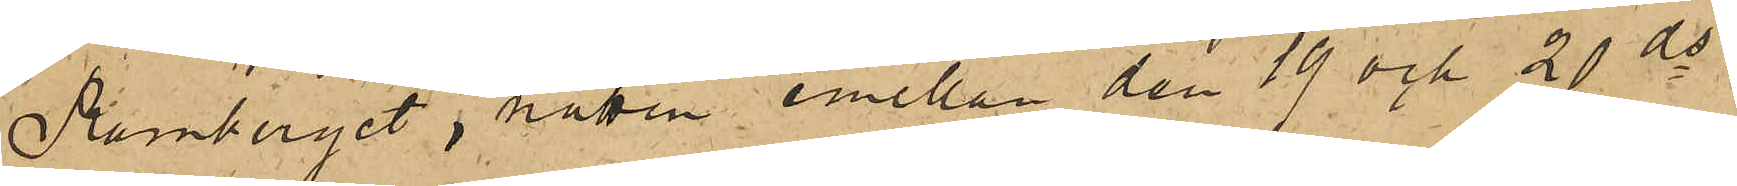Ramberget, natten emellan den 19 och 20 ds
